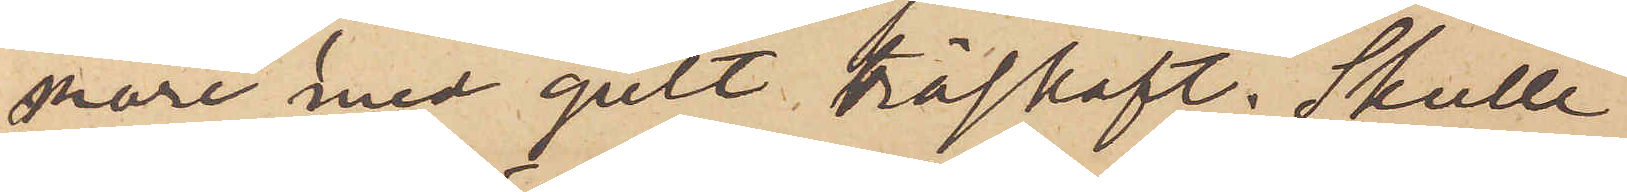are med gult träskaft. Skulle
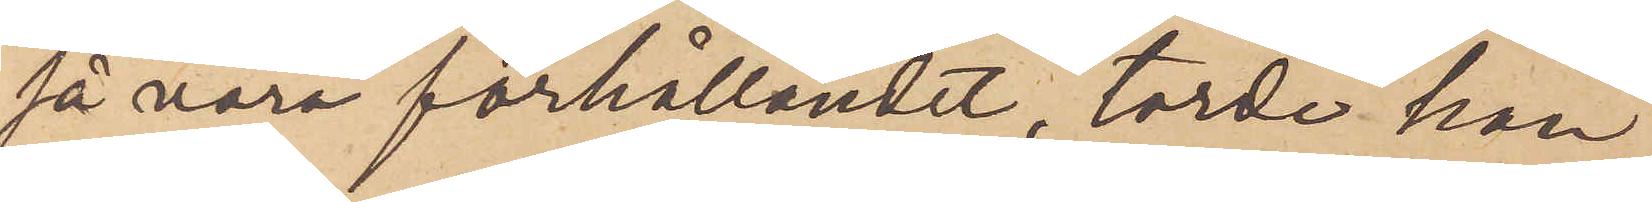så vara förhållandet, torde han
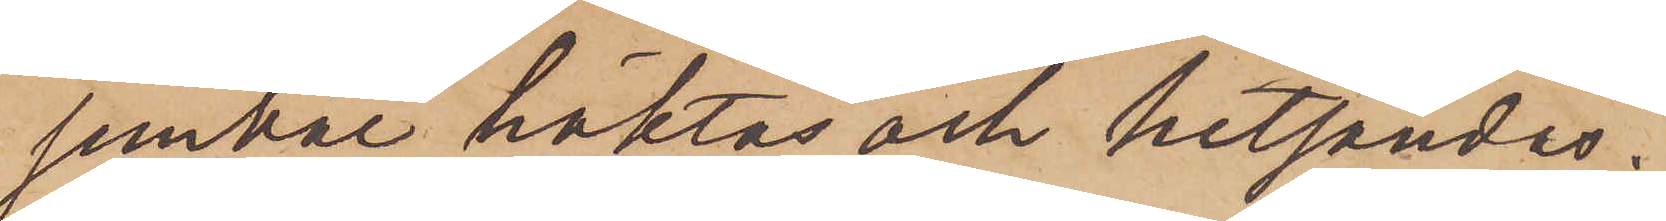jemväl häktas och hitsändas.
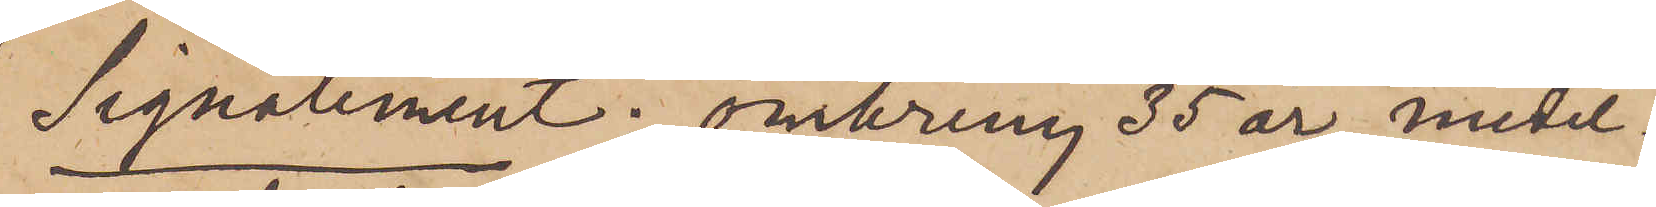Signalement: omkring 35 år medel¬
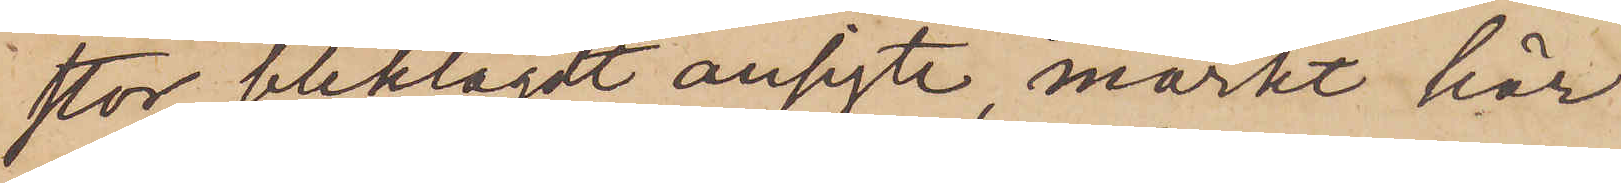stor, bleklagdt ansigte, mörkt hår
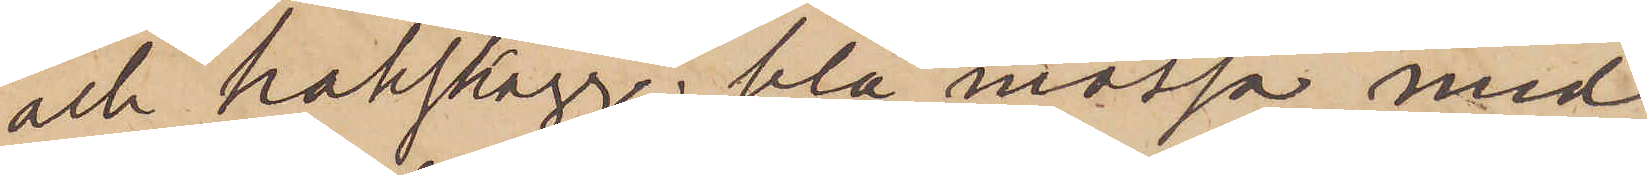och hakskägg, blå mössa med
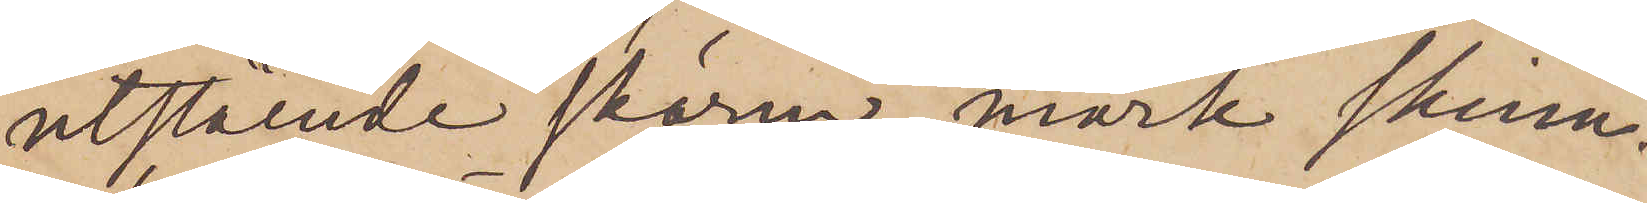utstående skärm, mörk skinn¬
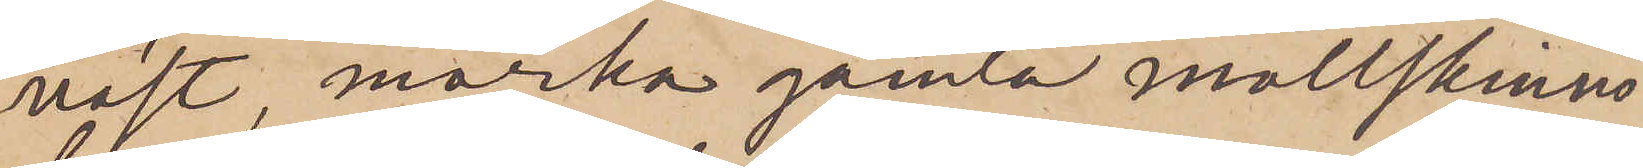väst, mörka gamla mollskinns¬
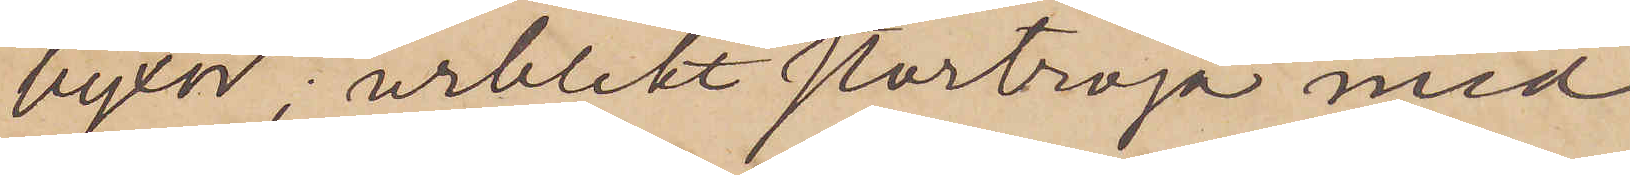byxor, urblekt stortröja med
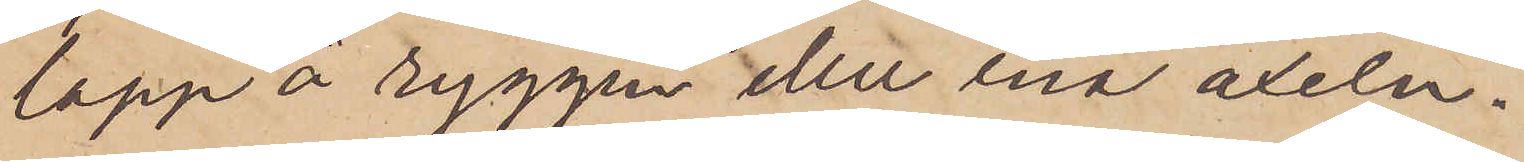lapp å ryggen eller ena axeln.
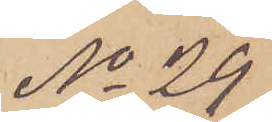No 29
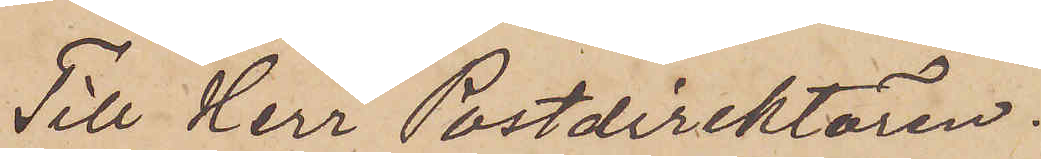Till Herr Postdirektören.
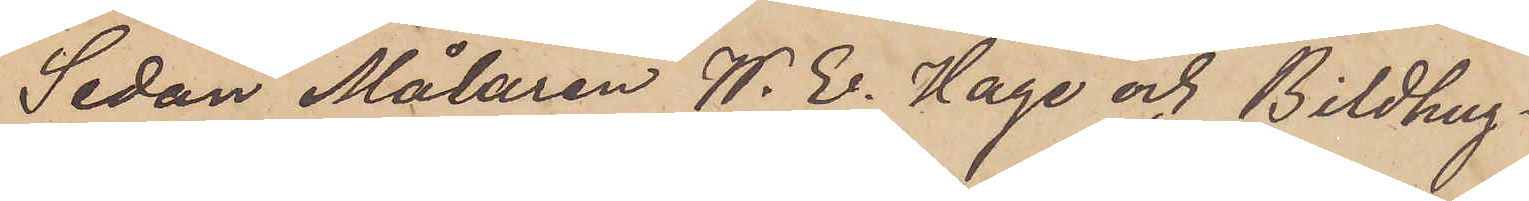Sedan Målaren W. E. Hage och Bildhug¬
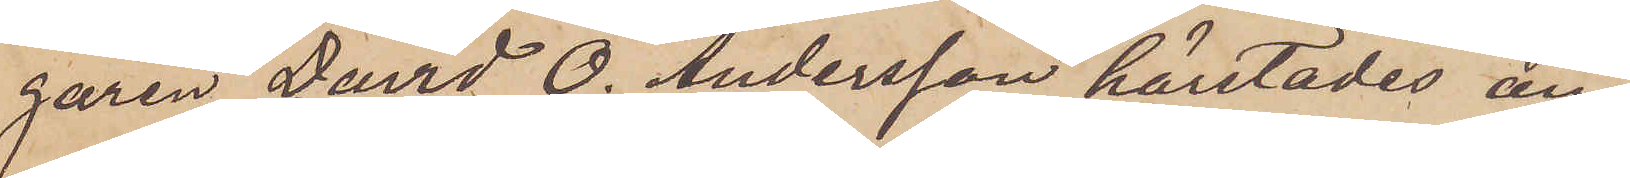garen David O. Andersson härstädes an¬
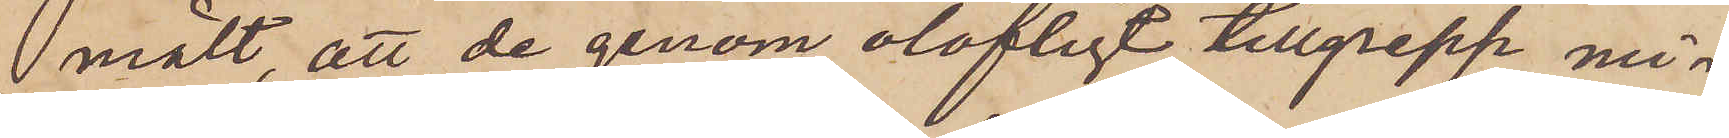mält, att de genom olofligt tillgrepp mi¬
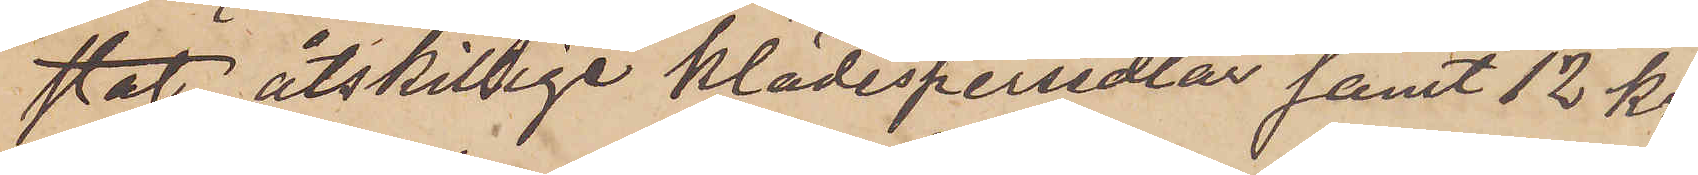stat åtskillige klädespersedlar samt 12 kr.
